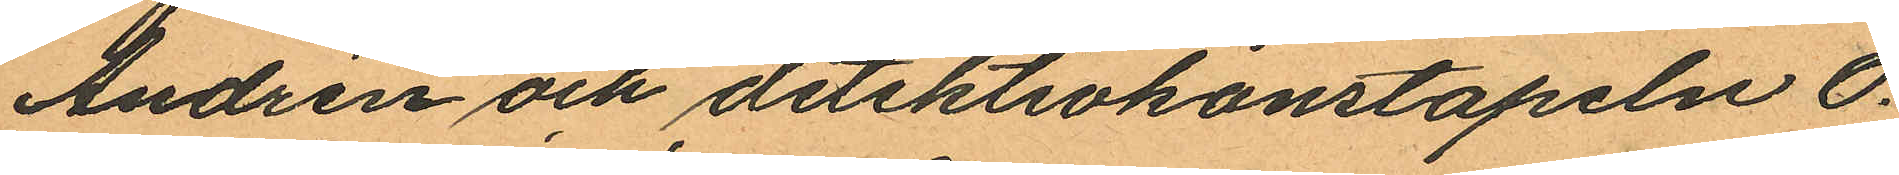Andrén och detektivkonstapeln O.
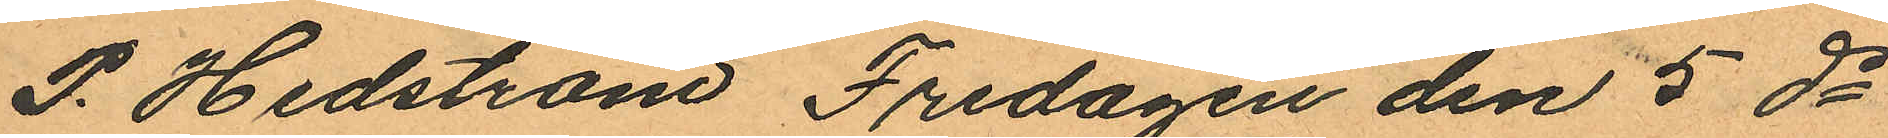P. Hedström Fredagen den 5 ds
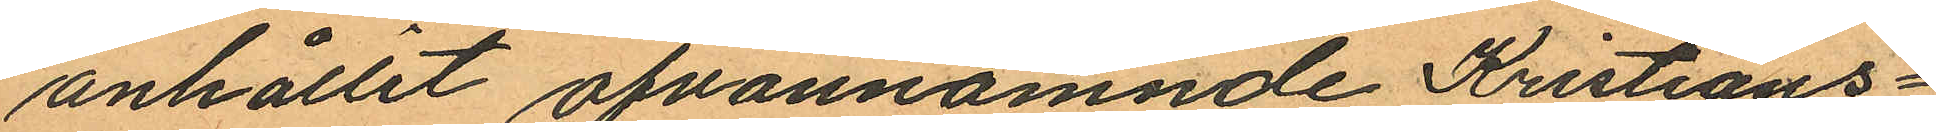anhållit ofvannämnde Kristians¬
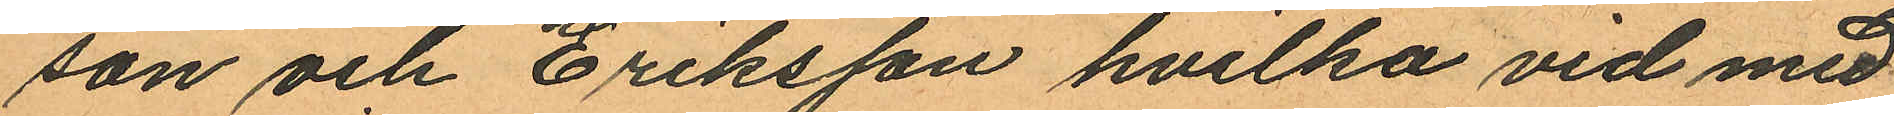son och Eriksson hvilka vid med
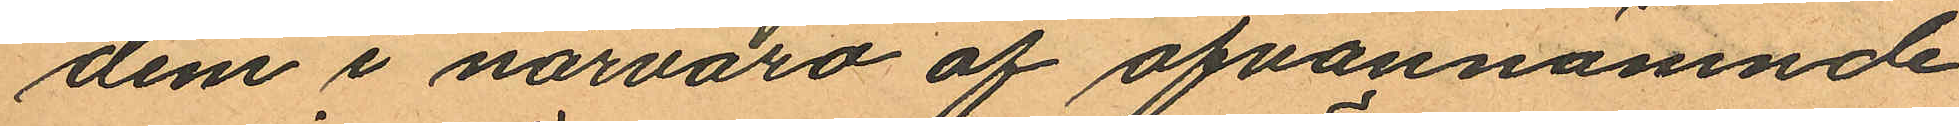dem i närvaro af ofvannämnde
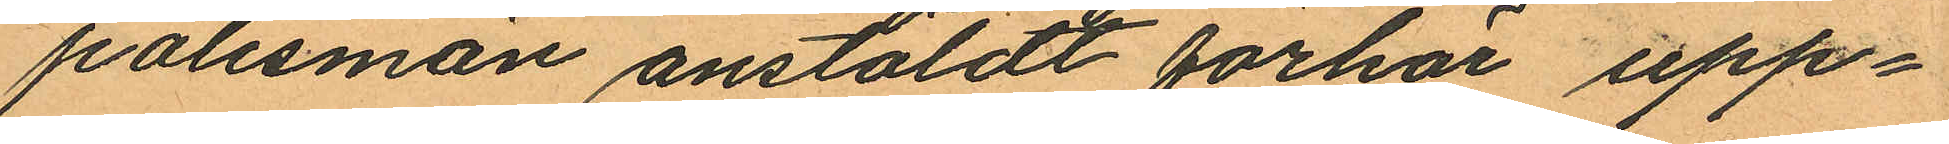polismän anstäldt förhör upp¬
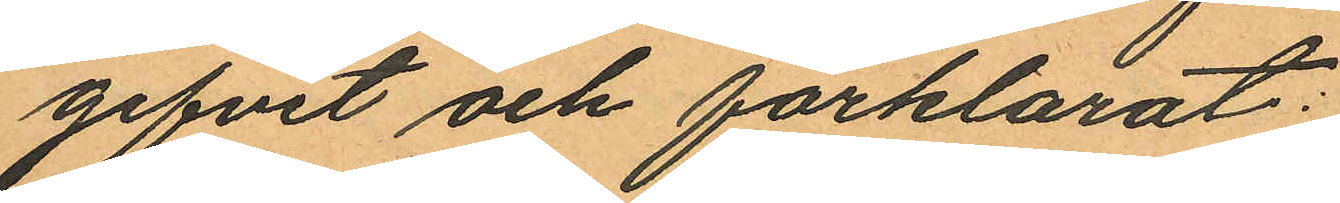gifvit och förklarat:
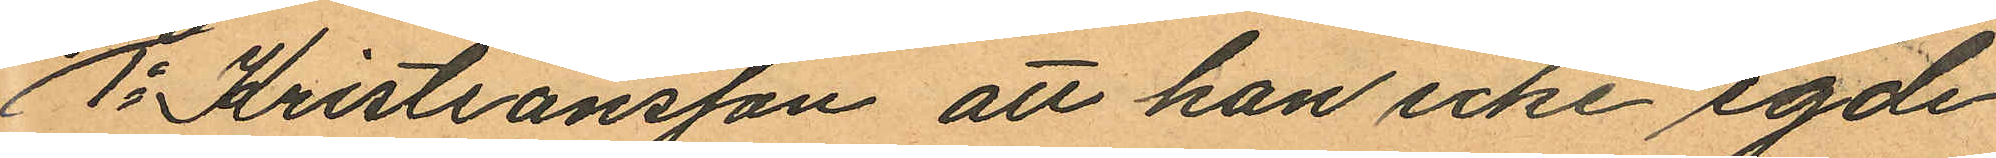1o Kristiansson att han icke egde
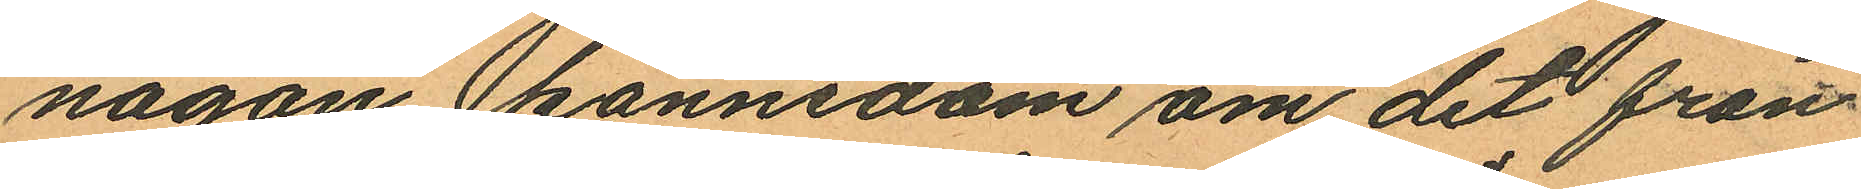någon kännedom om det från
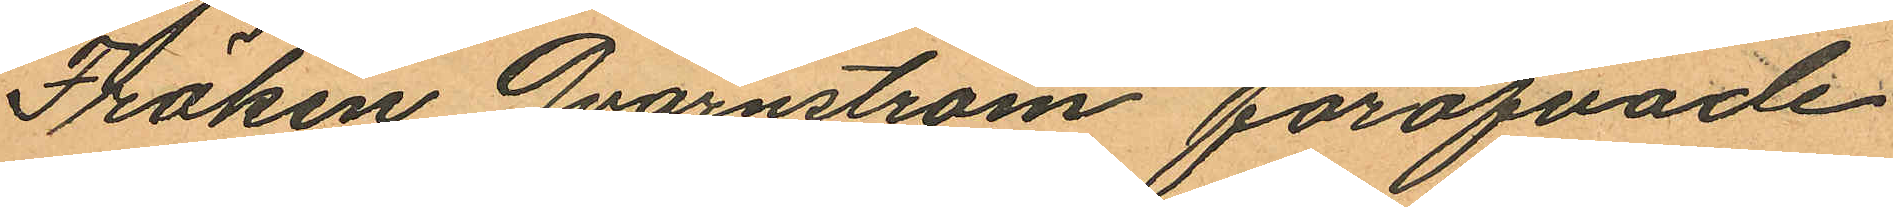Fröken Qvarnström föröfvade
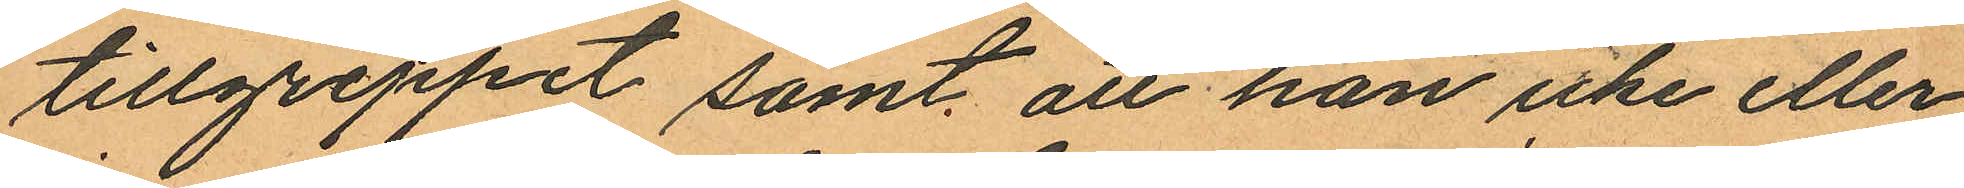tillgreppet samt att han icke eller
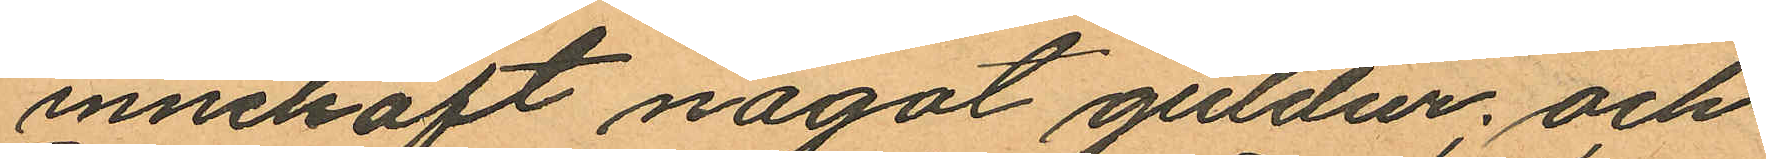innehaft något guldur; och
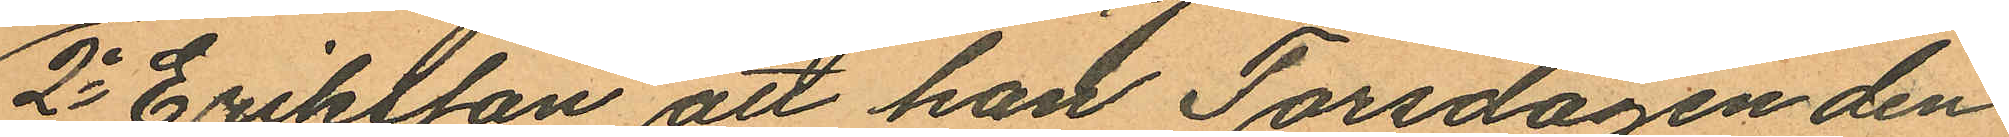2o Eriksson att han Torsdagen den
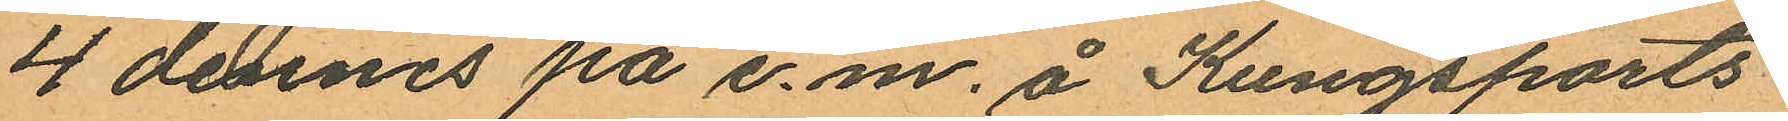4 dennes på e.m. å Kungsports¬
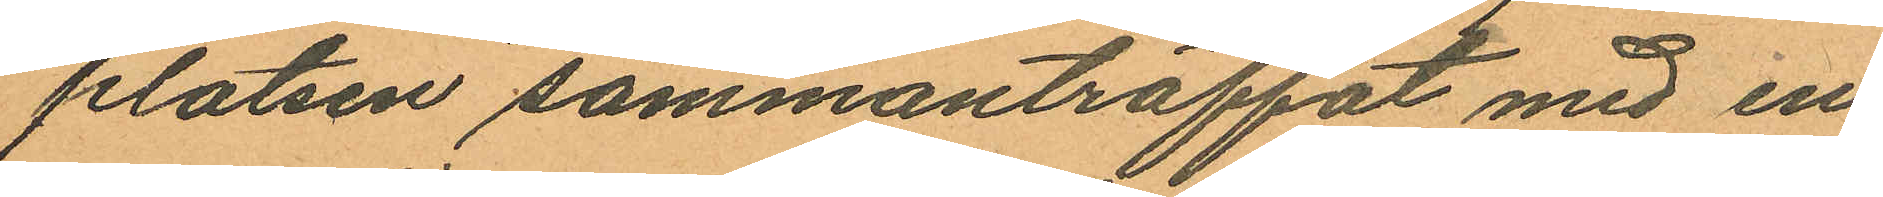platsen sammanträffat med en
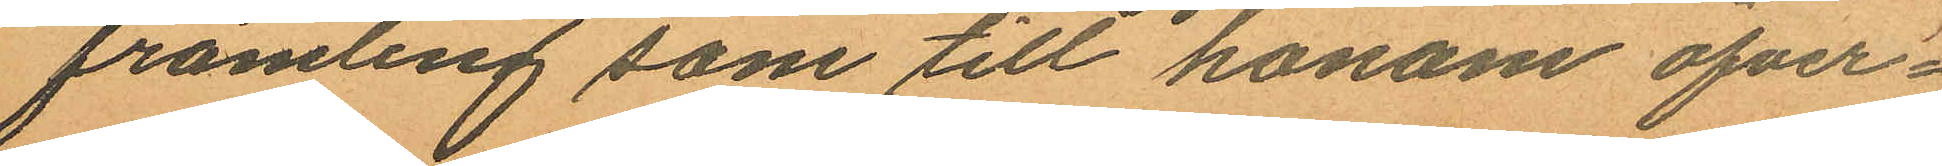främling som till honom öfver¬
